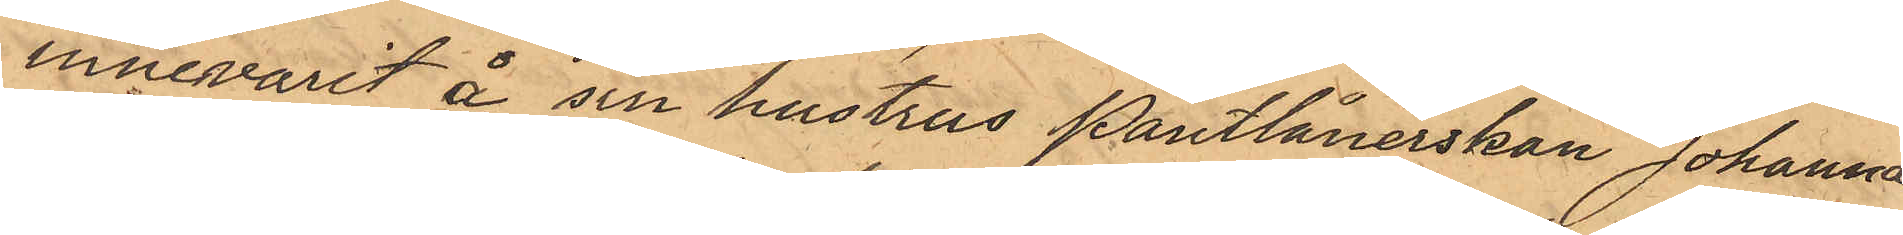innevarit å sin hustrus Pantlånerskan Johanna
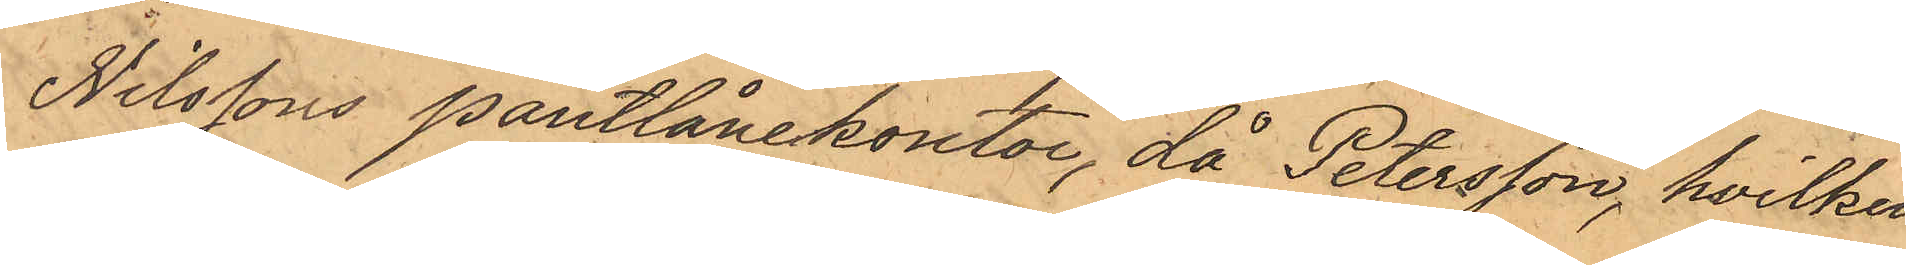Nilssons pantlånekontor, då Petersson, hvilken
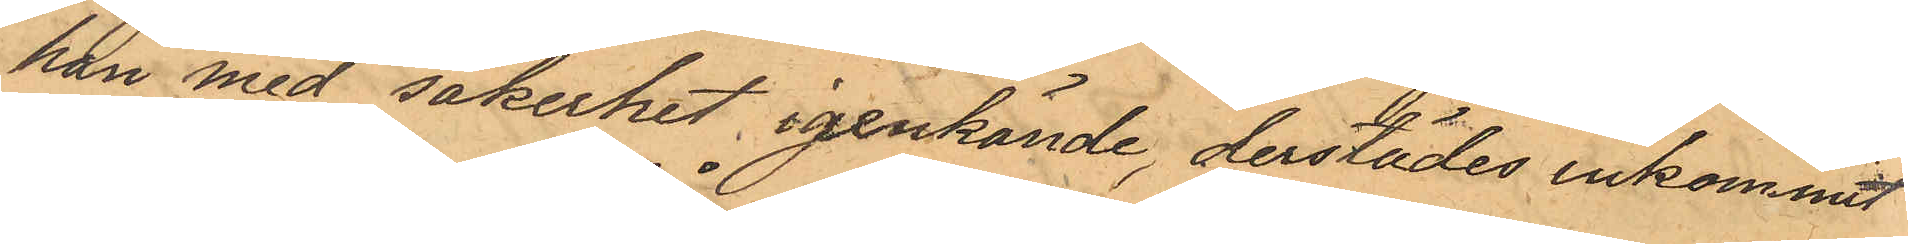han med säkerhet igenkände, derstädes inkommit
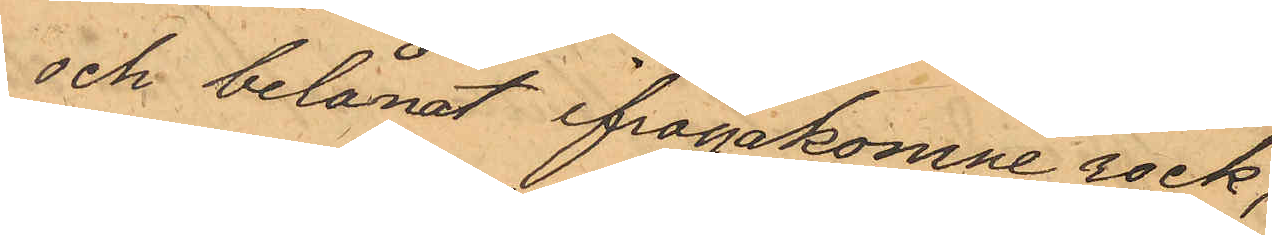och belånat ifrågakomne rock;
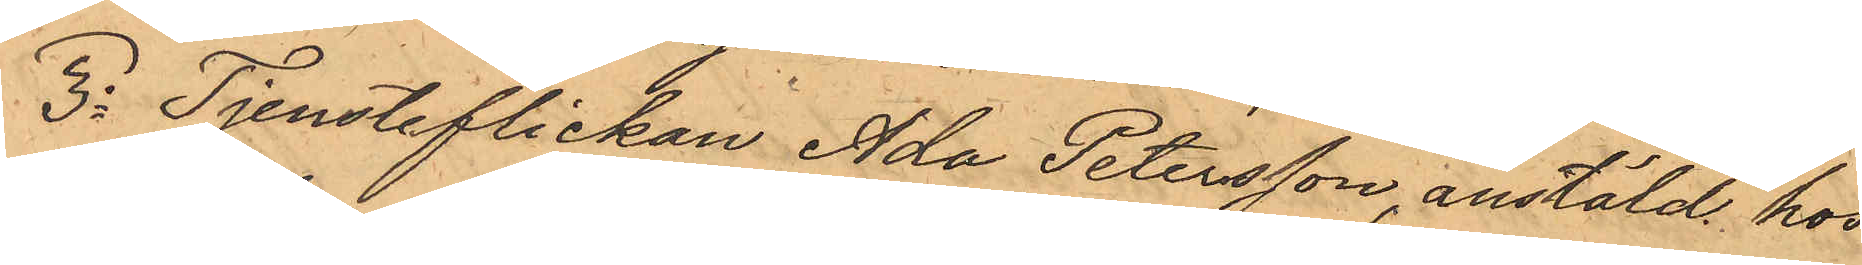3o Tjensteflickan Ada Petersson, anstäld hos
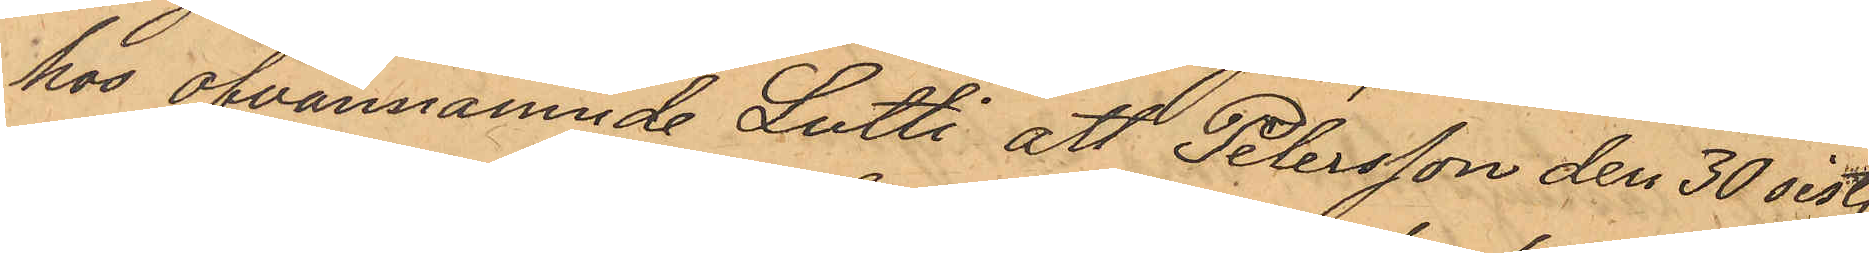hos ofvannämnde Lutti att Petersson den 30 sist.
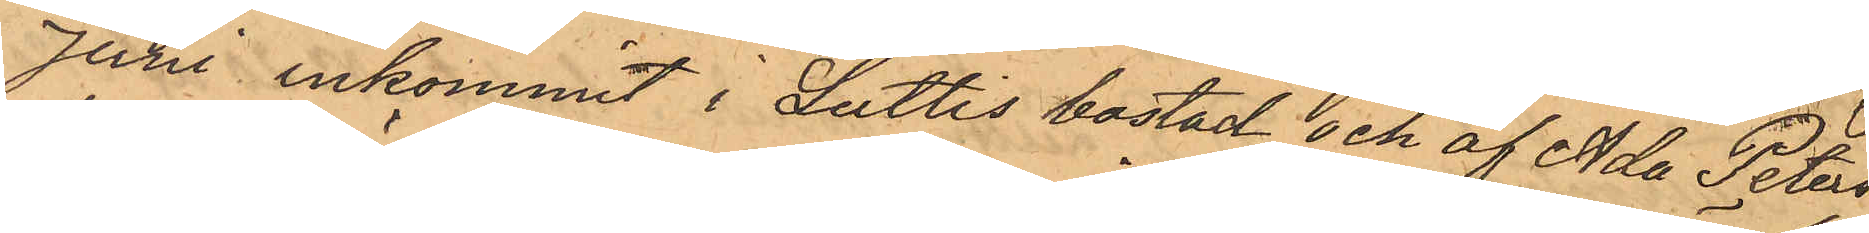Juni inkommit i Luttis bostad och af Ada Peters¬
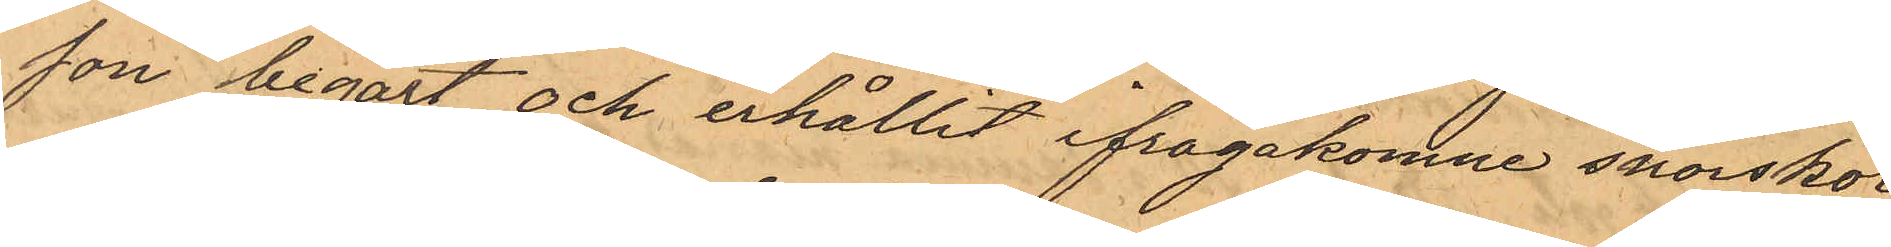son begärt och erhållit ifrågakomne snörskor;
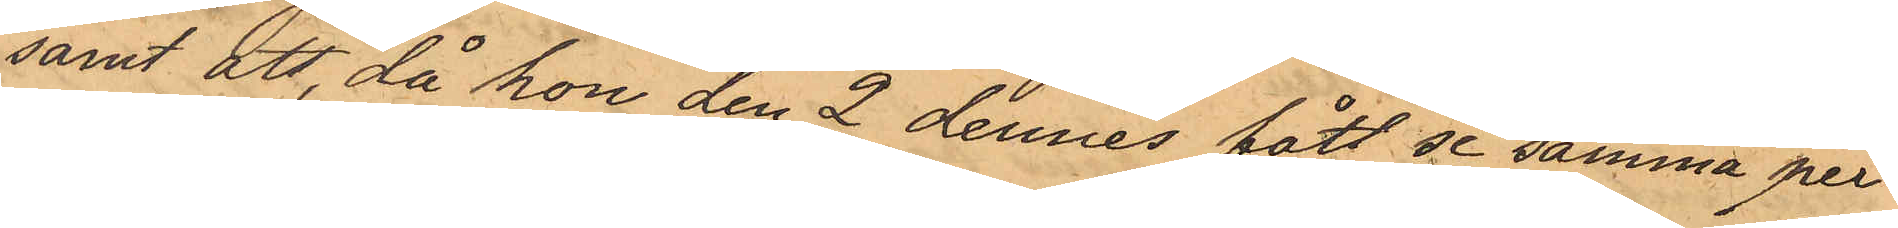samt att då hon den 2 dennes fått se samma per¬
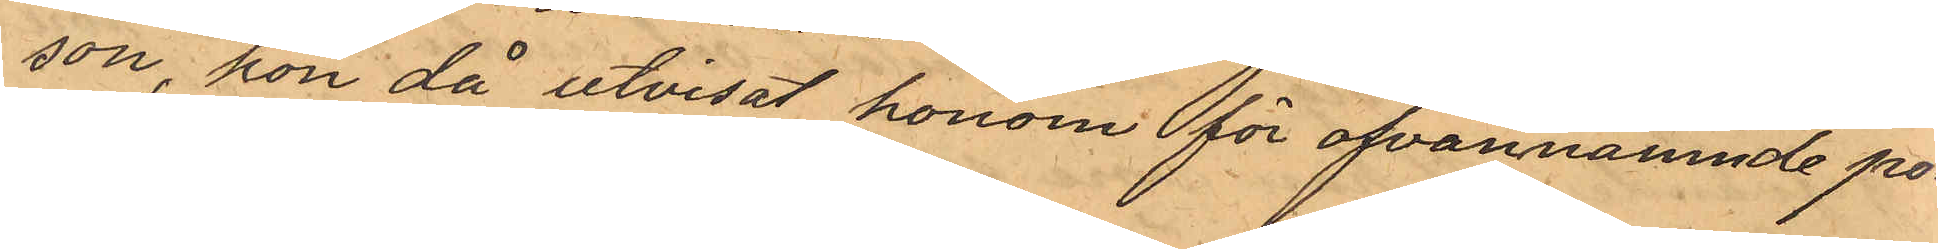son, hon då utvisat honom för ofvannamnde po¬
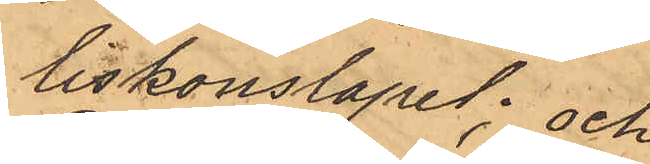liskonstapel; och
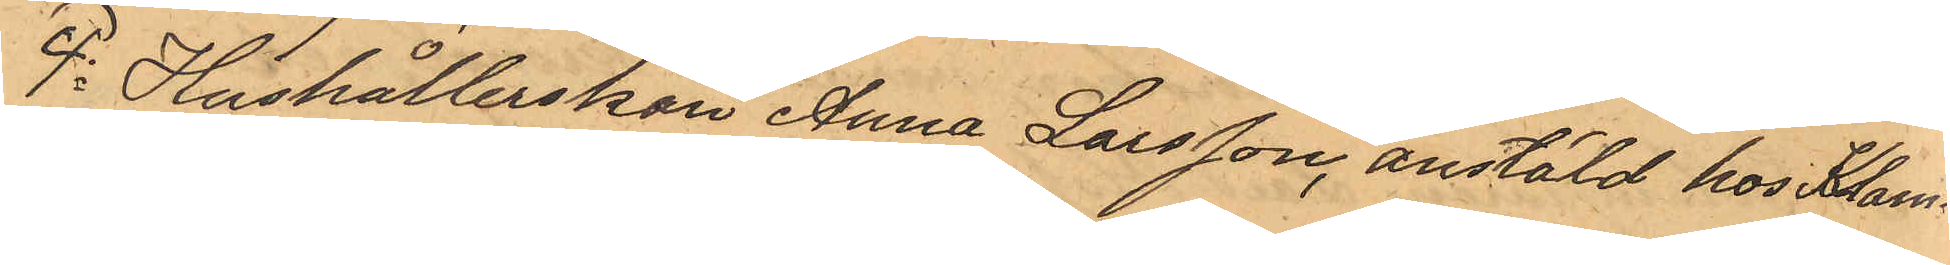4o Hushållerskan Anna Larsson, anstäld hos Klam¬
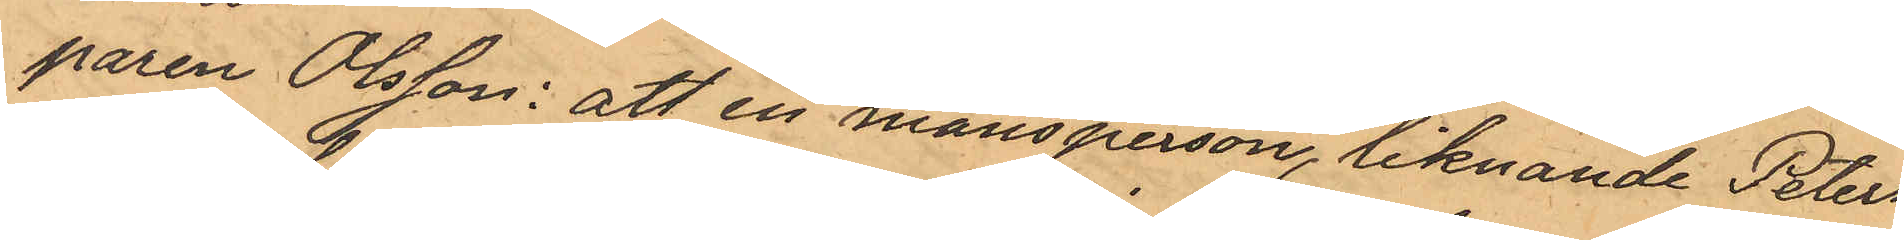paren Olsson: att en mansperson, liknande Peters¬
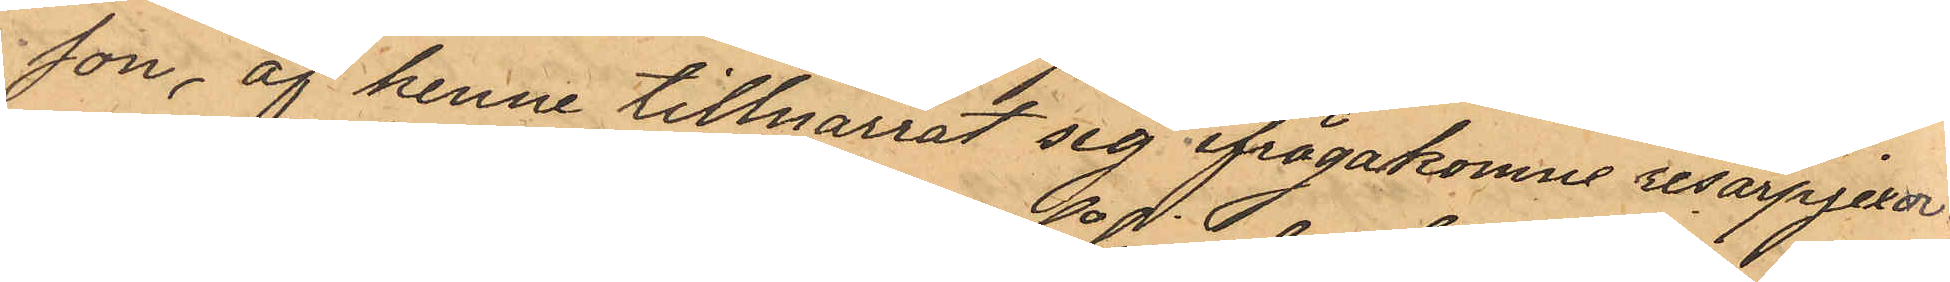son, af henne tillnarrat sig ifrågakomne resårpjexor.
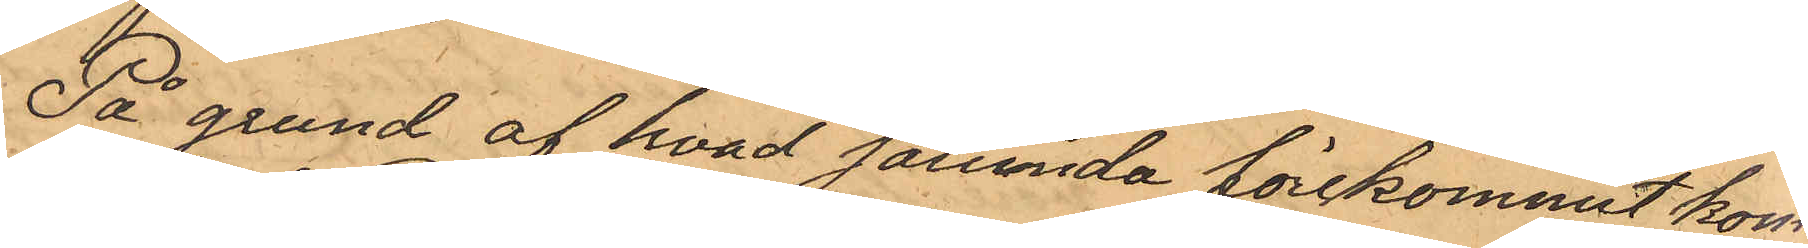På grund af hvad sålunda förekommit kom¬
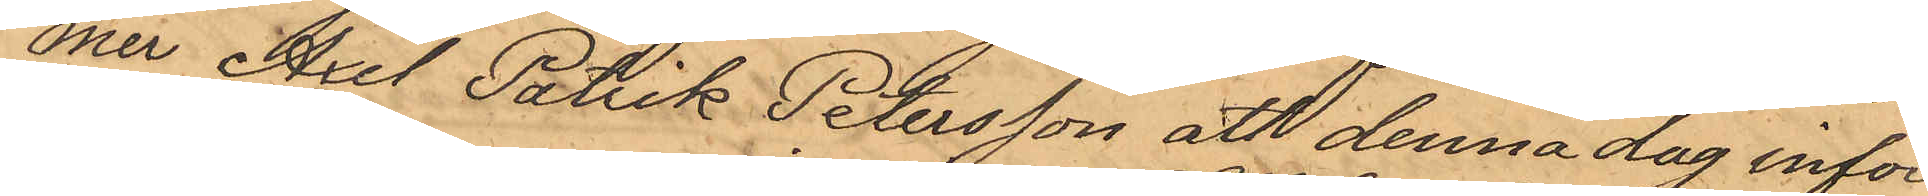mer Axel Patrik Petersson att denna dag inför
